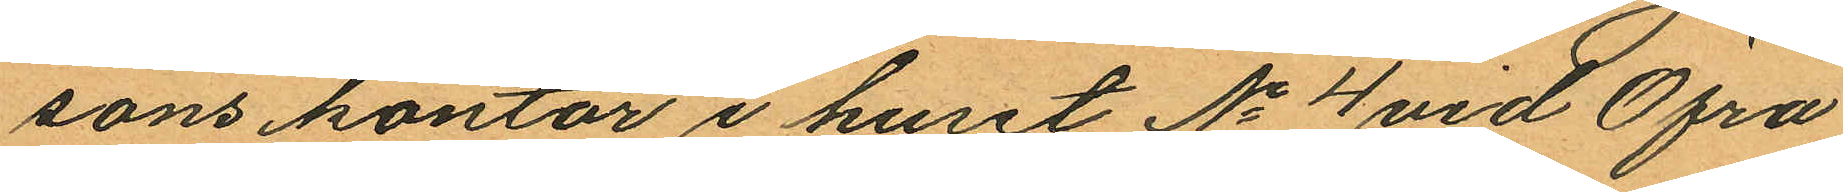sons kontor i huset No 4 vid Öfra
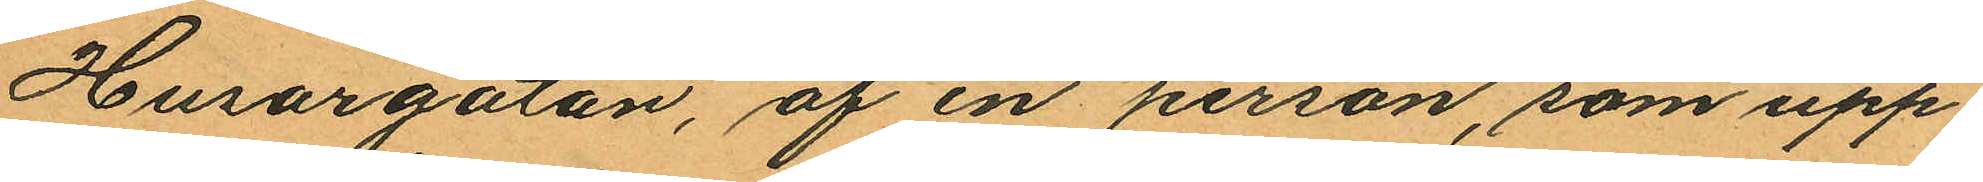Husargatan, af en person, som upp
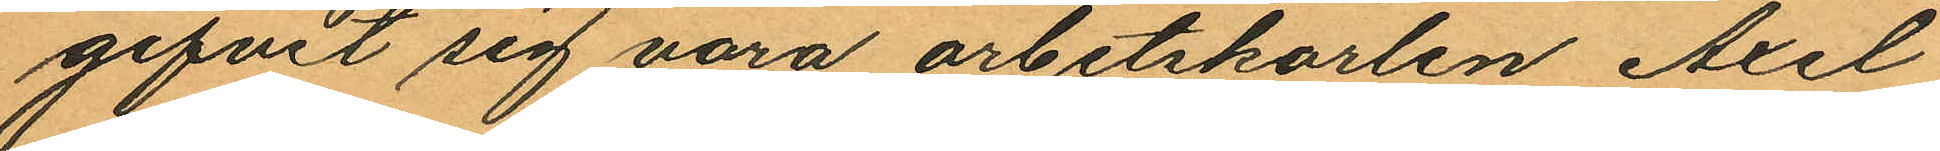gifvit sig vara arbetskarlen Axel
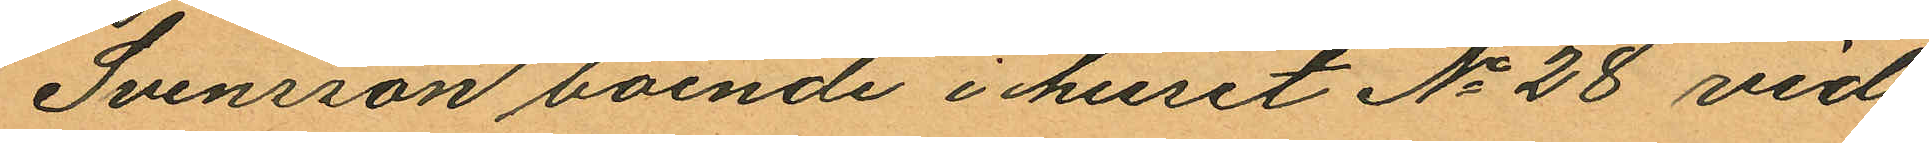Svensson boende i huset No 28 vid
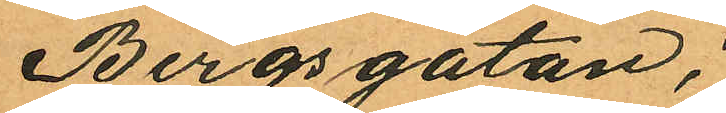Bergsgatan;
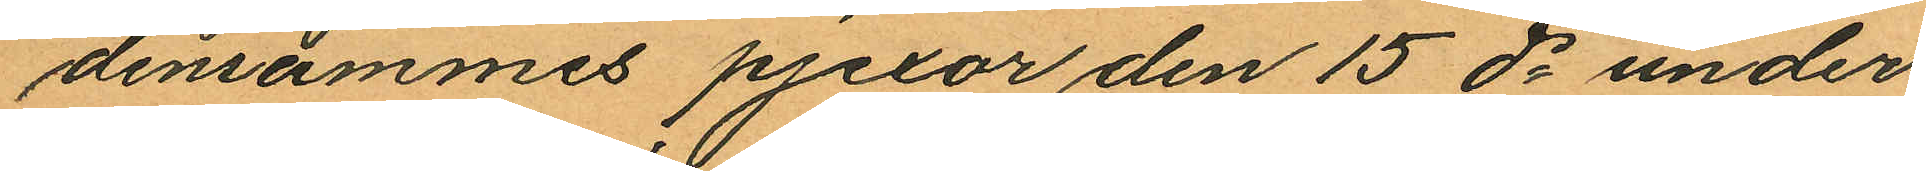densammes pjexor den 15 ds under
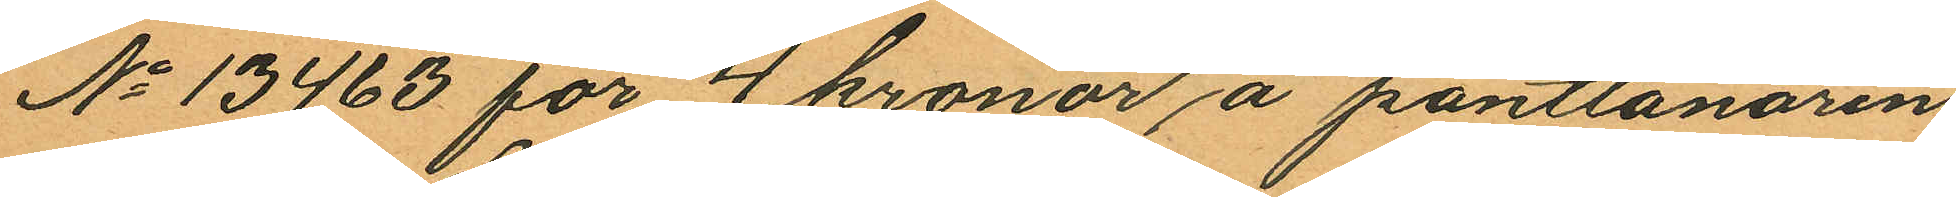No 13463 för 4 kronor å pantlånaren
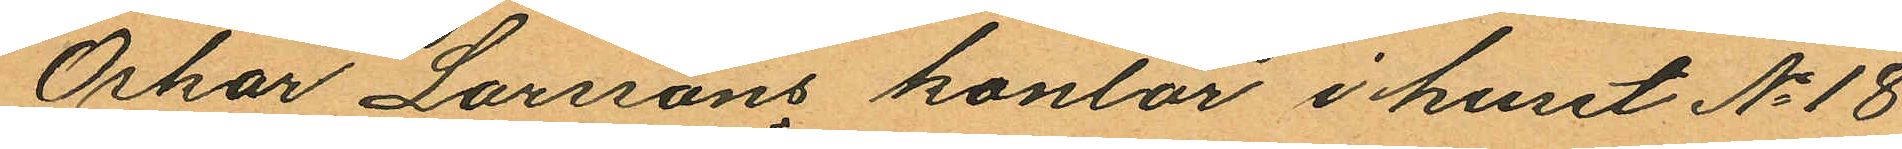Oskar Larssons kontor i huset No 18
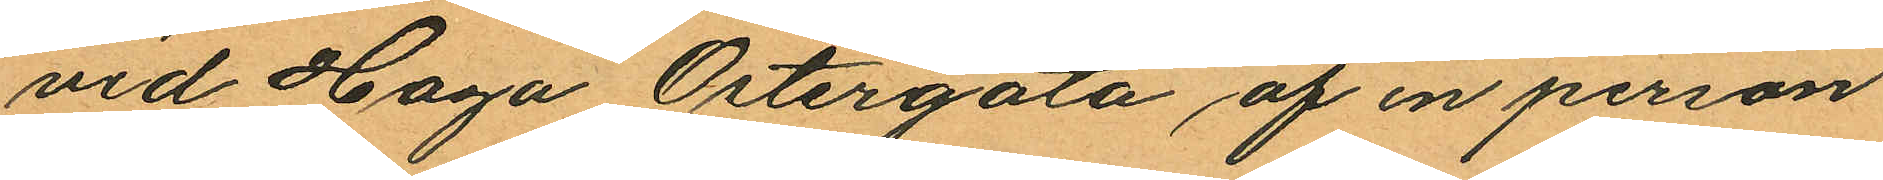vid Haga Östergata af en person
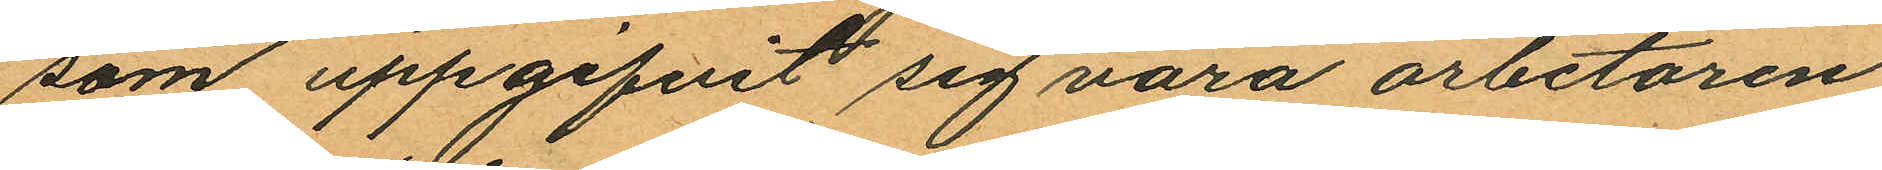som uppgifvit sig vara arbetaren
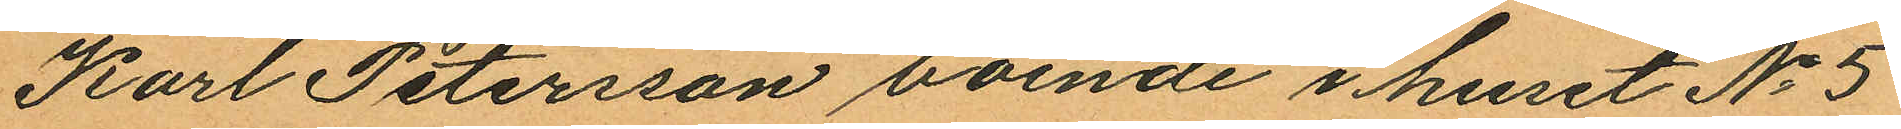Karl Petersson boende i huset No 5
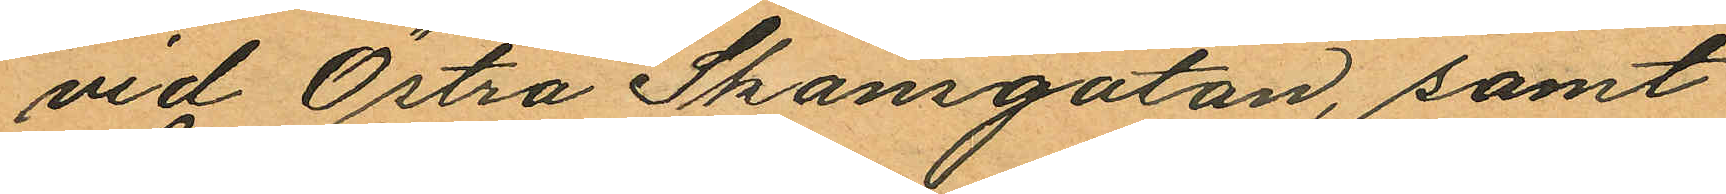vid Östra Skansgatan, samt
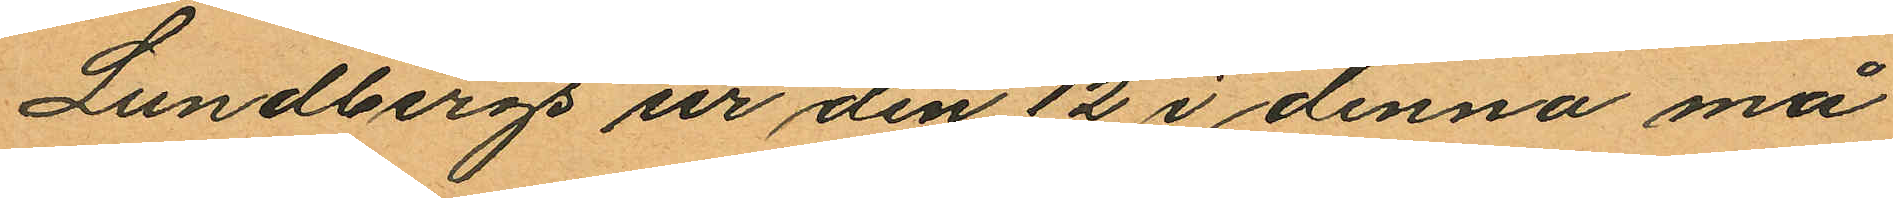Lundbergs ur den 12 i denna må¬
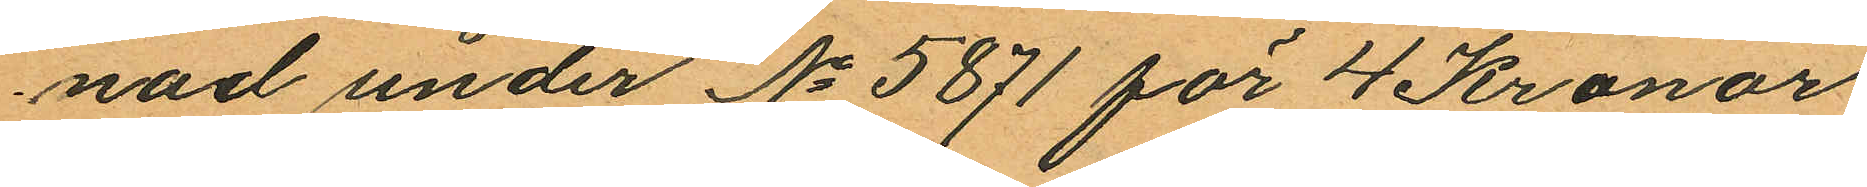nad under No 5871 för 4 Kronor
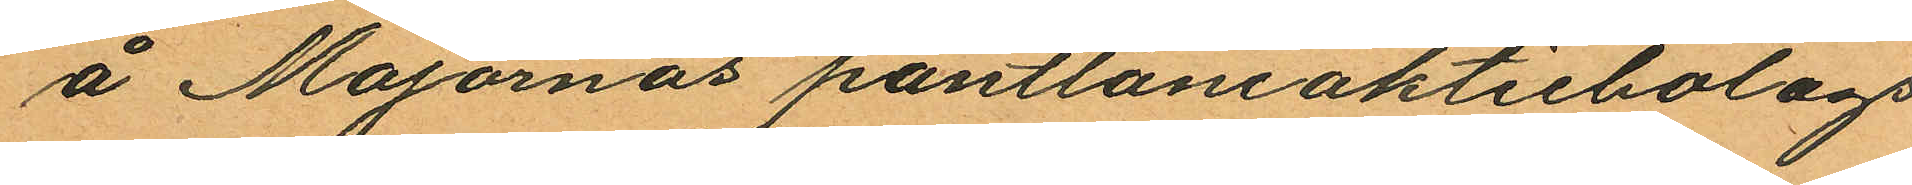å Majornas pantlåneaktiebolags
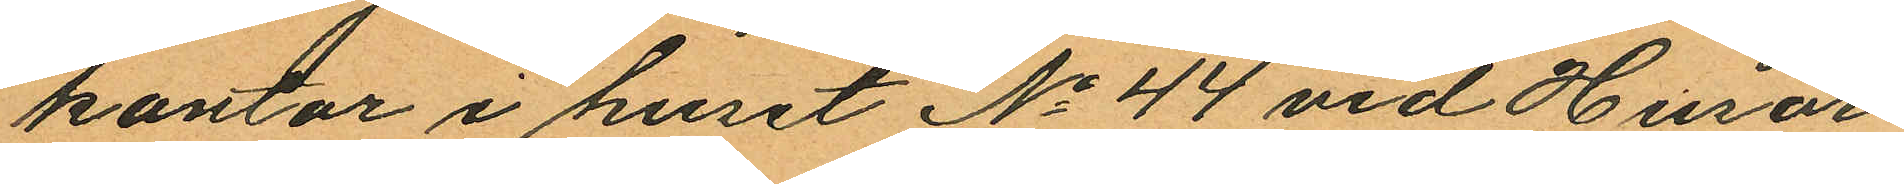kontor i huset No 44 vid Husar¬
